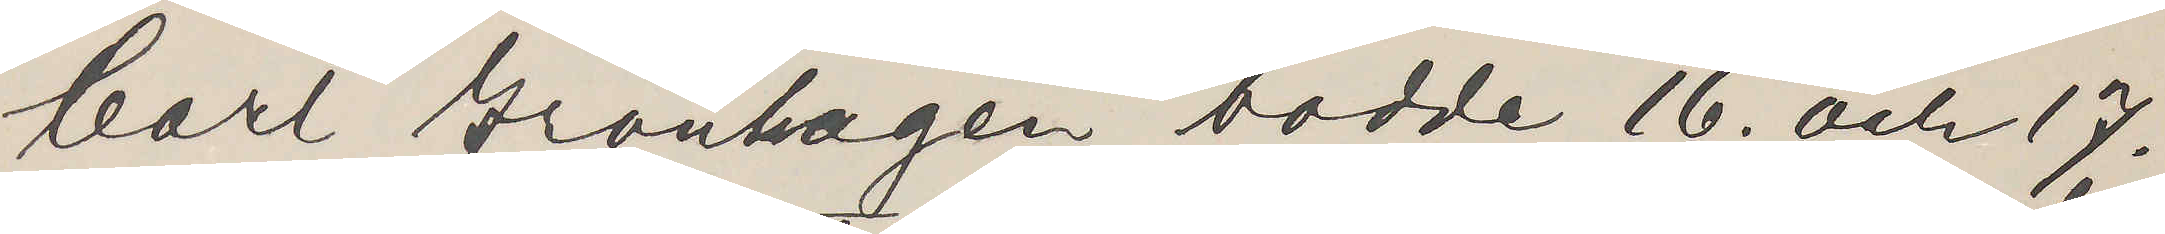Carl Grönhagen bodde 16. och 17.
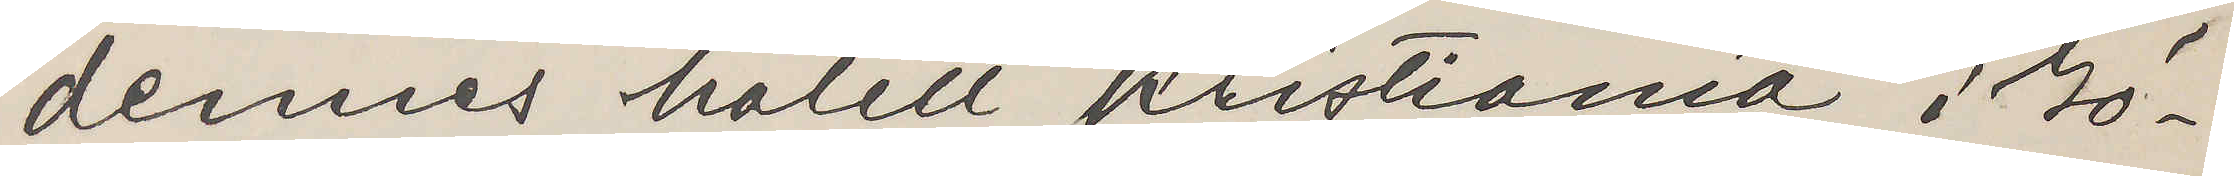dennes hotell Kristiania i Gö¬
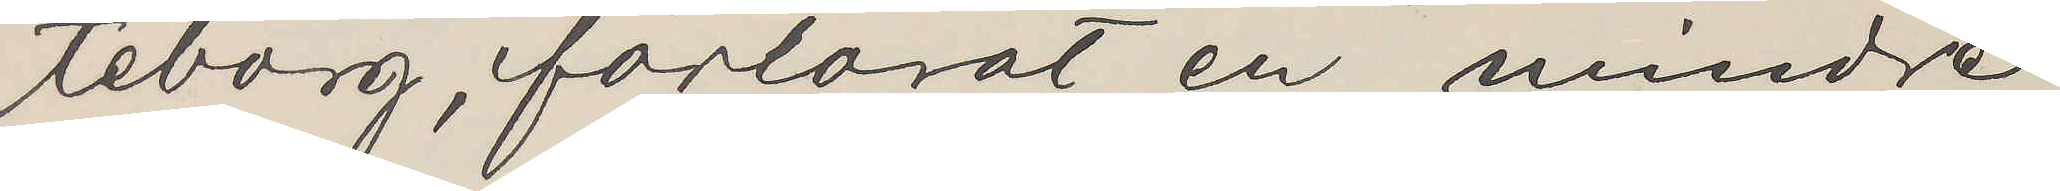teborg, förlorat en mindre
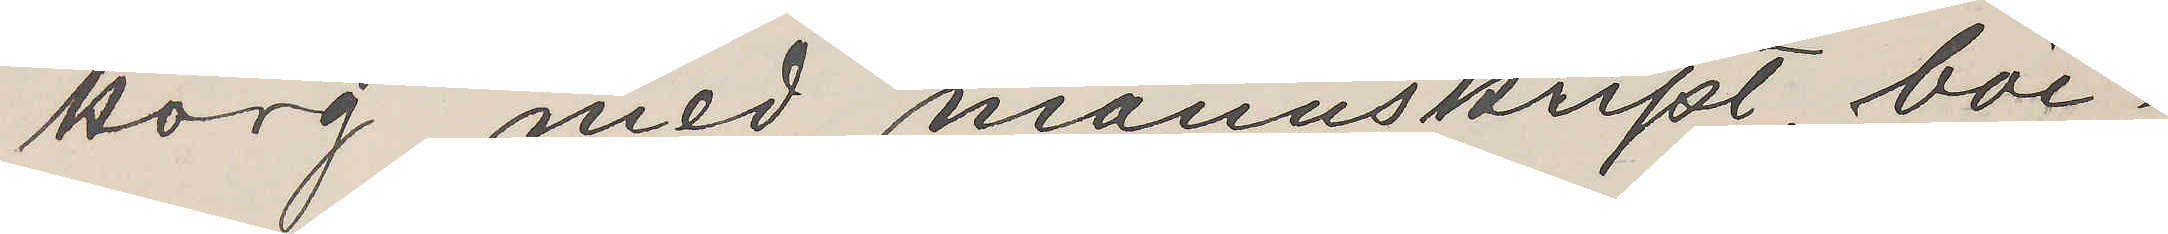korg med manuskript, böc¬
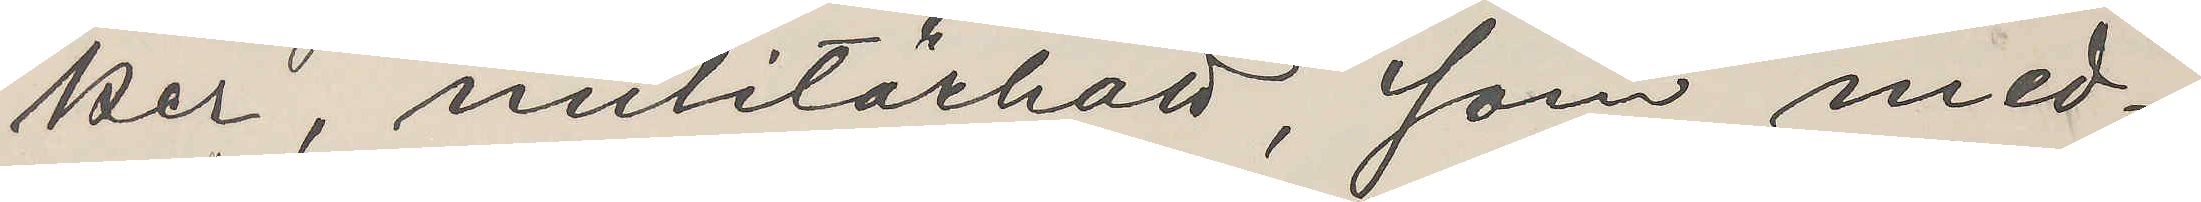ker, militärhatt, som med¬
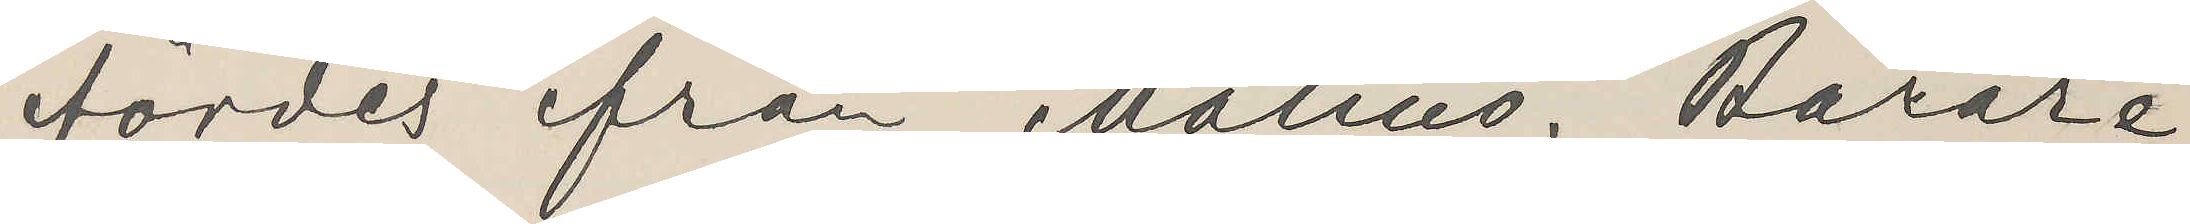fördes ifrån Malmö. Bärare
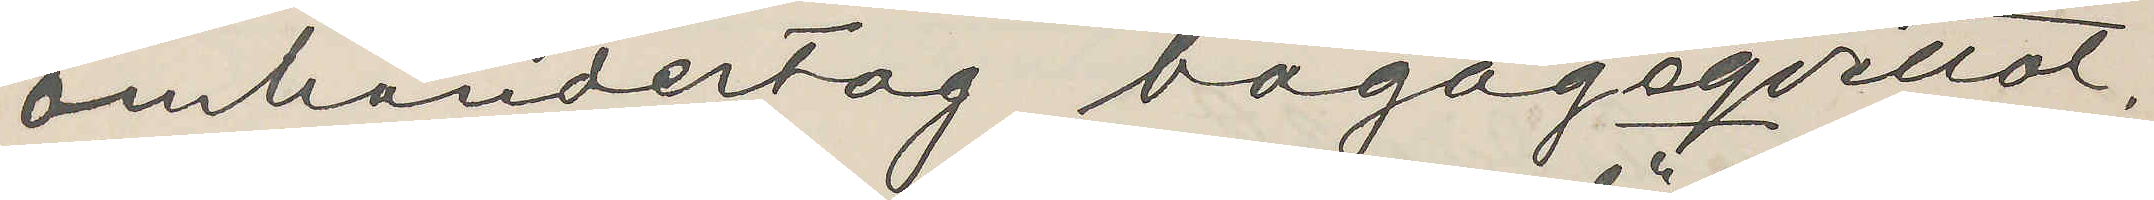omhändertog bagageqvittot.
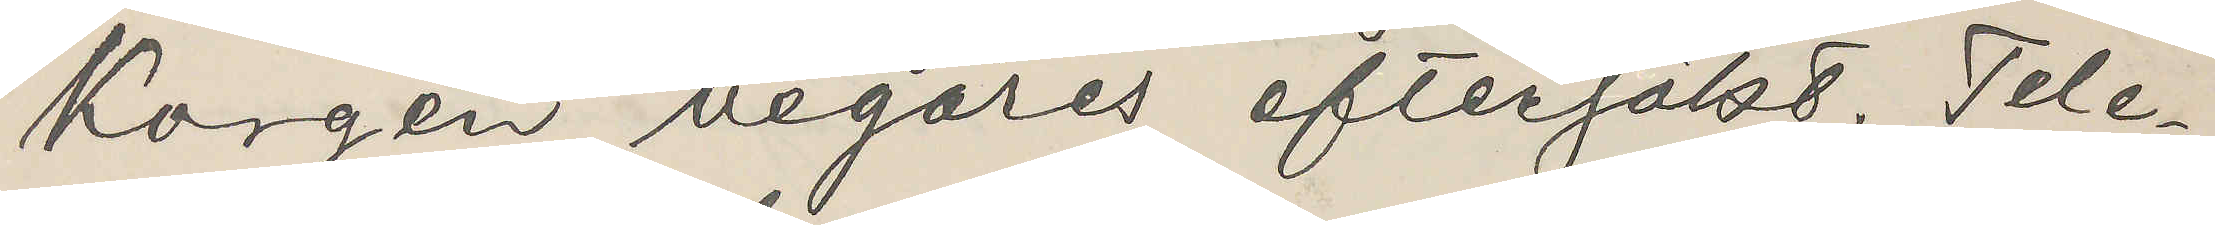Korgen begäres eftersökt. Tele¬
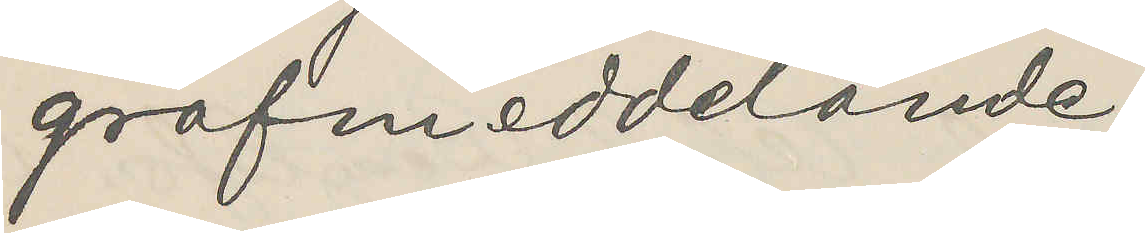grafmeddelande.
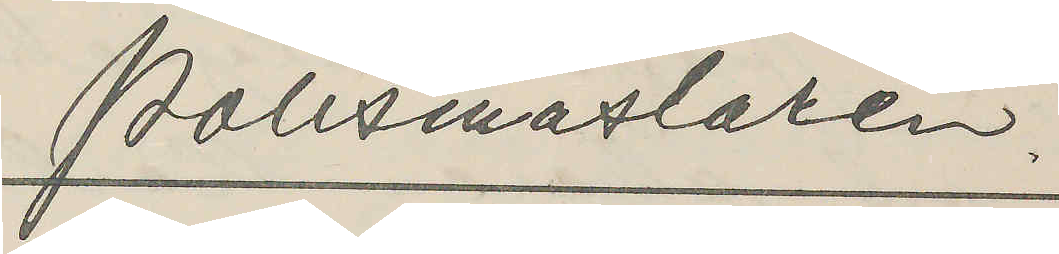Polismäslaren
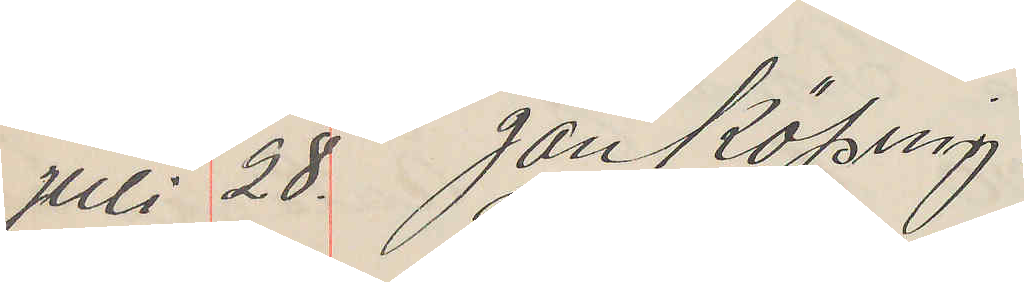Juli 28. Jönköping
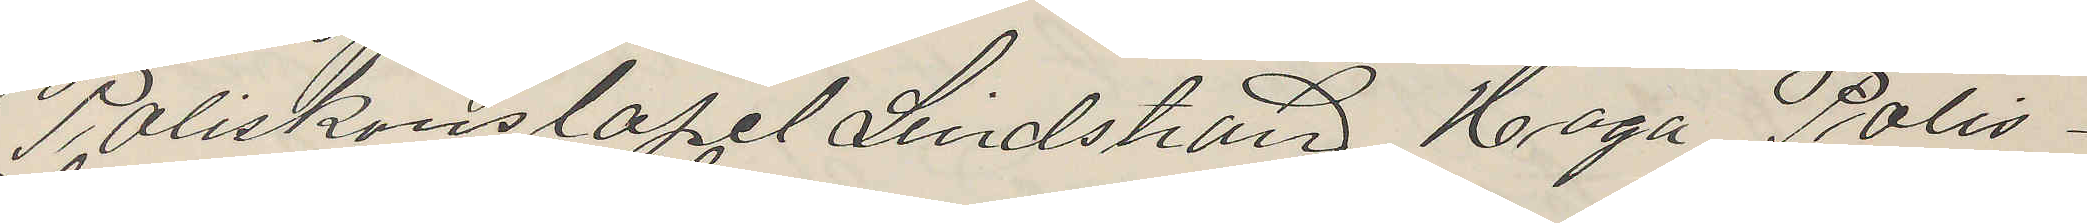Poliskonstapel Lindström Haga Polis¬
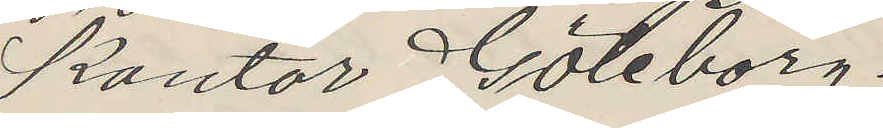kontor Göteborg.
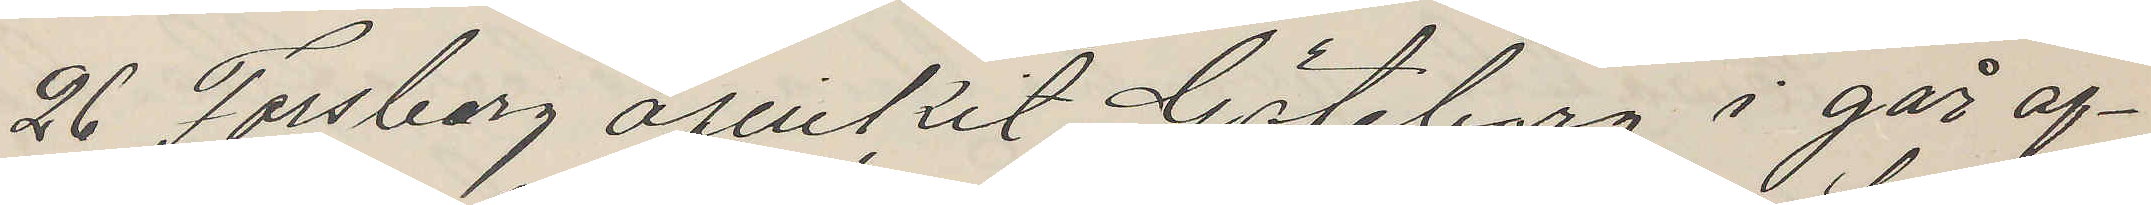26 Forsberg afvikit Göteborg i går af¬
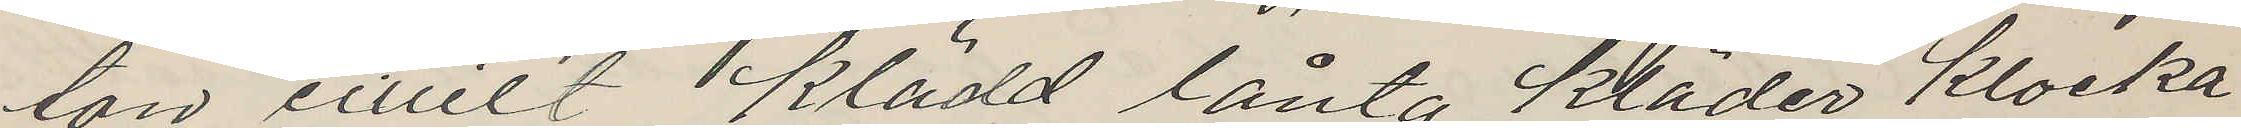ton civilt klädd lånta kläder klocka
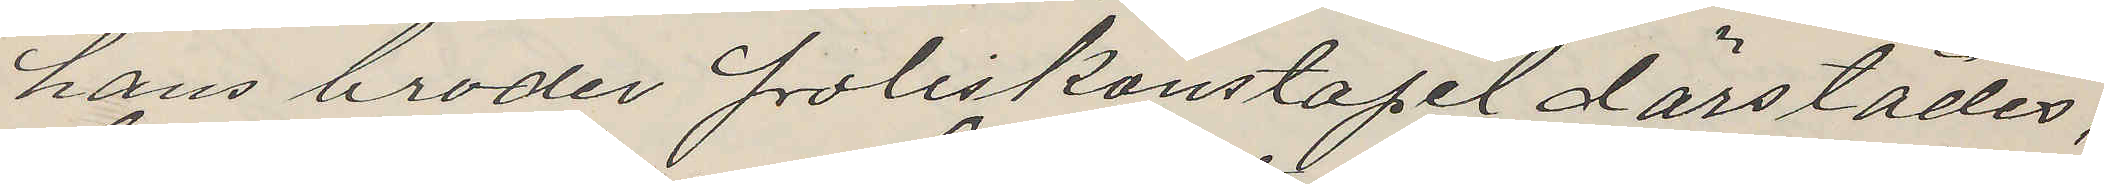hans broder Poliskonstapel därstädes,
